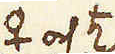♀ och ♄ 
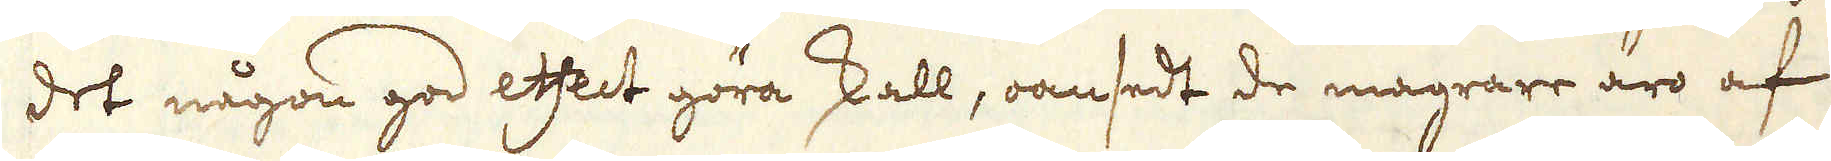det någon god effect göra skall, oansedt de magrare äro af
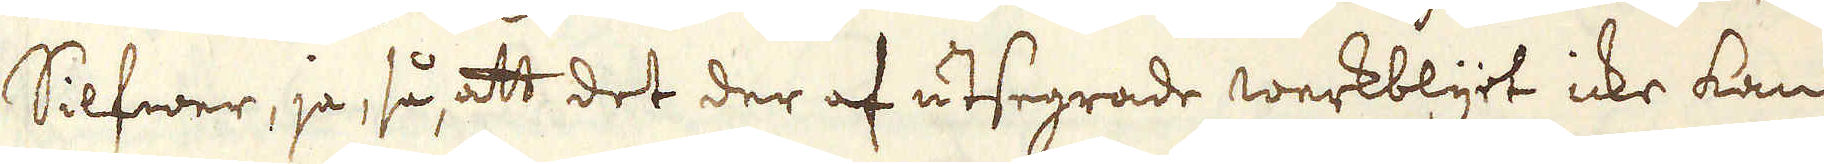Silfwer, ja, så, att det der af utsegrade werkblyet icke kan
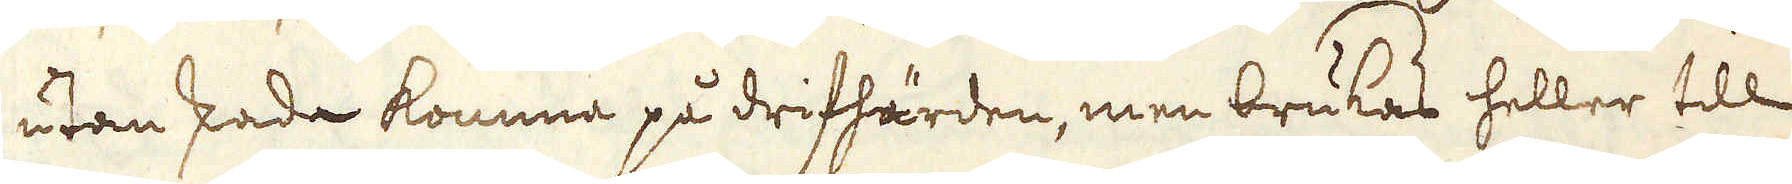utan skada komma på drifhärden, men brukas heller till
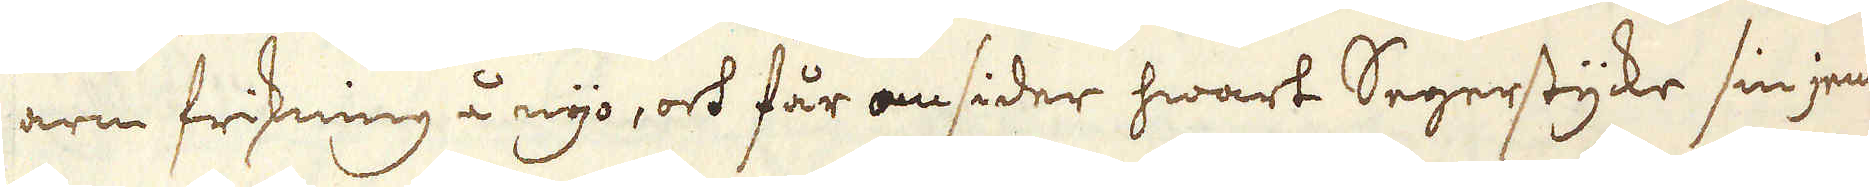arm friskning å nyo, och får omsider hwart Segerstycke sin jem-
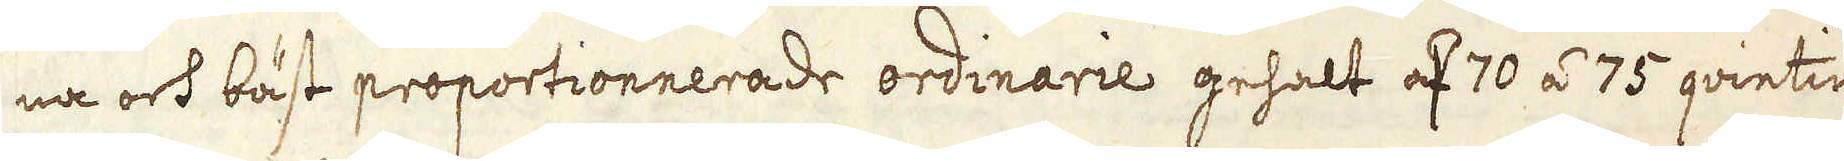na och bäst proportionnerade ordinarie gehalt af 70 á 75 qvintin
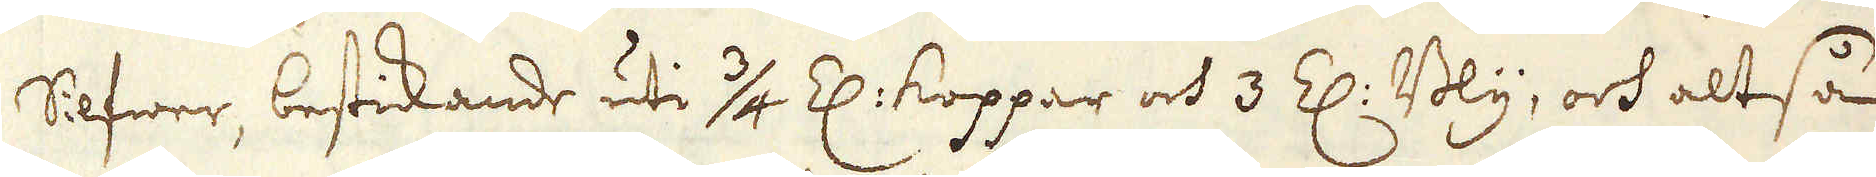Silfwer, bestickande uti 3/4 Z: koppar och 3 Z: Bly, och altså
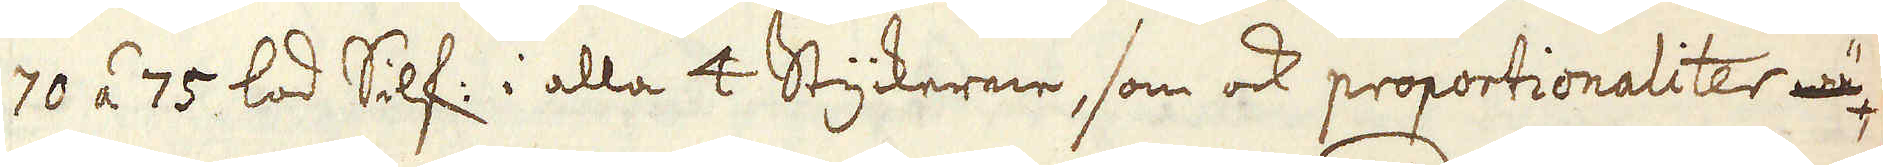70 á 75 lod Silf: i alla 4 Styckerne, som ock proportionaliter wä
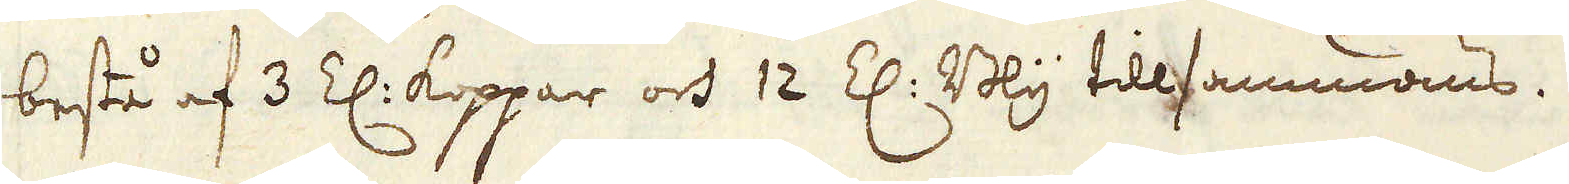bestå af 3 Z: koppar och 12 Z: Bly tillsammans.
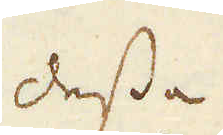Dessa
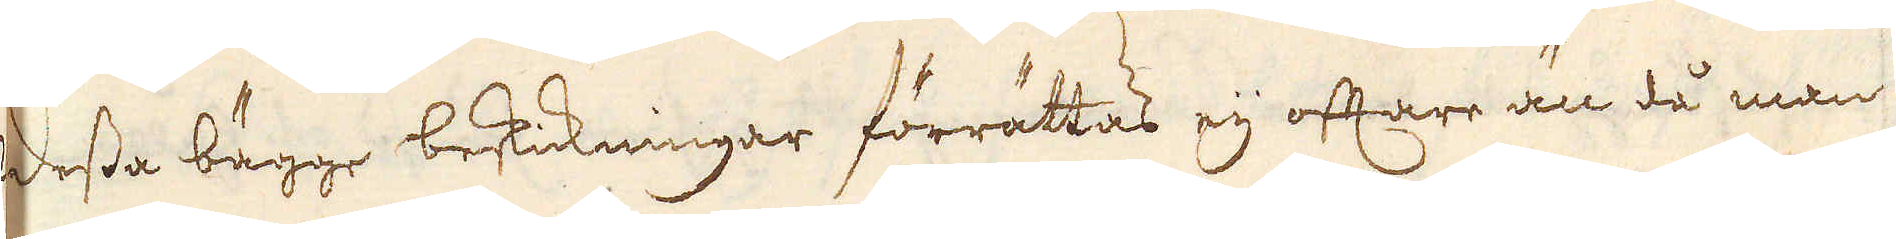Dessa bägge beskickningar förrättas eij oftare än då man
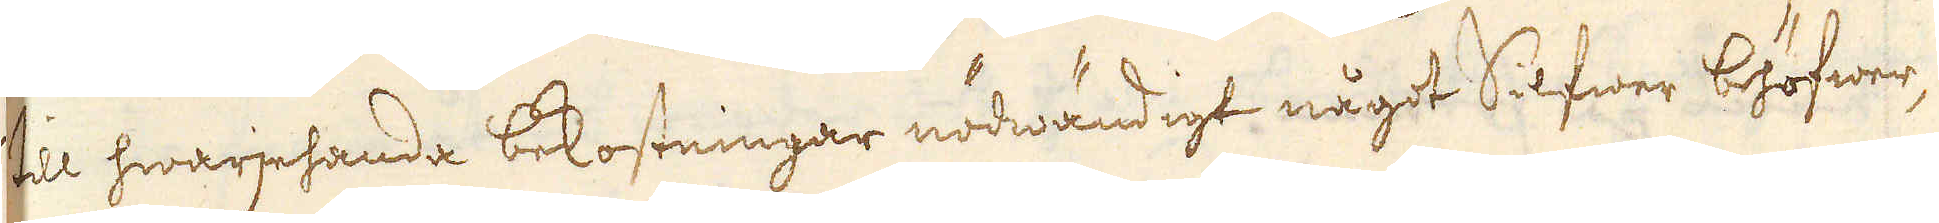til hwarjehanda bekostningar nödwändigt något Silfwer behöfwer,
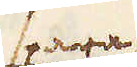spara
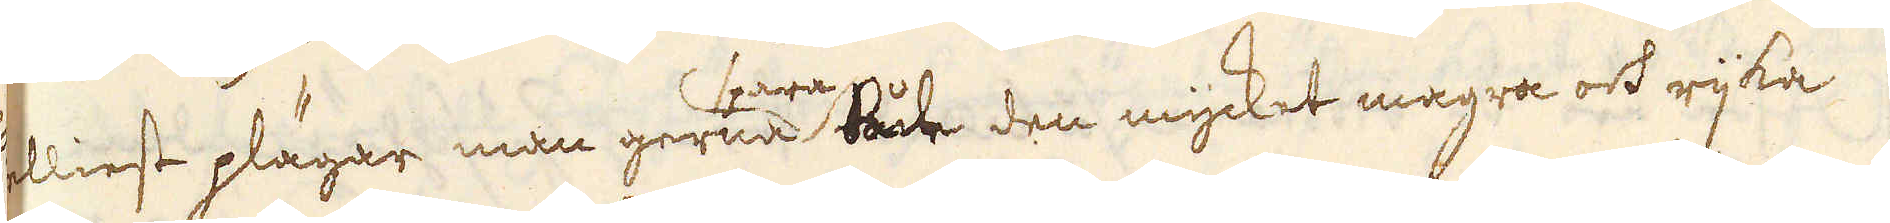ellinest plägar man gerna både den mycket magra och rijka
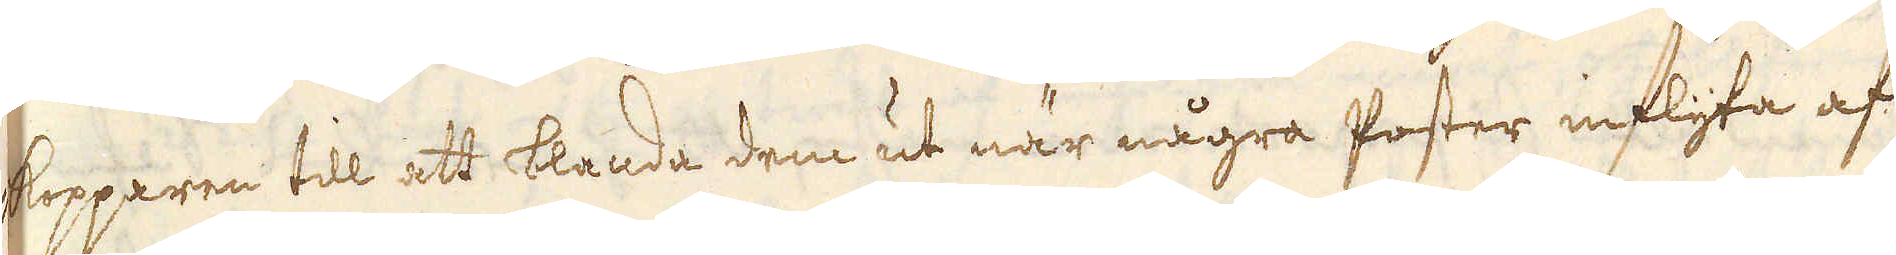kopparen till att blanda dem ut när några poster inflyta af
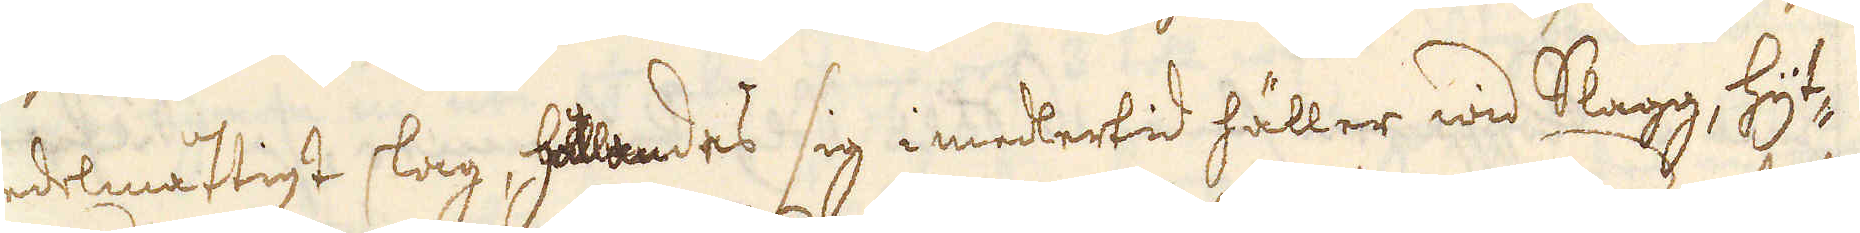undermåtligt slag, hållades sig i medertid häller wid Slagg, hyt-
